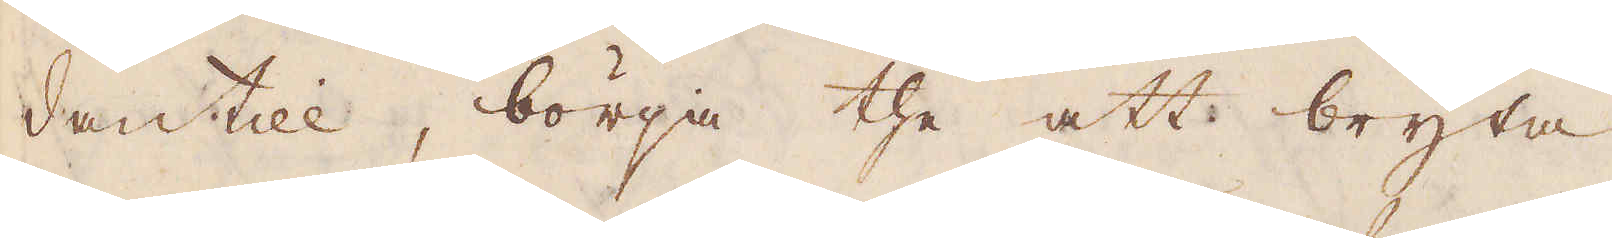dantill, börja the att bryta
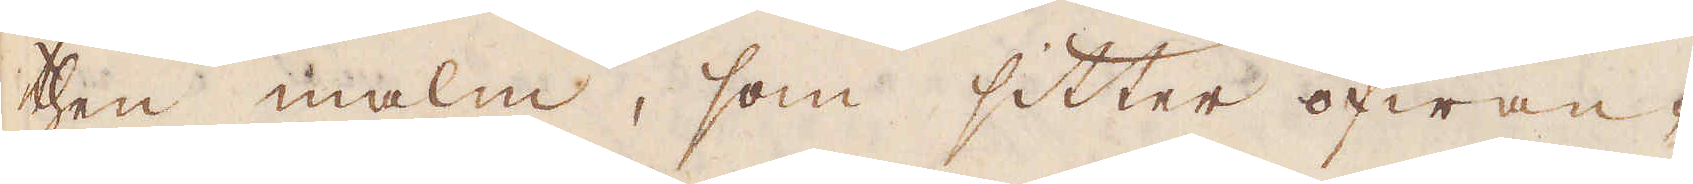then malm, som sitter ofwan-
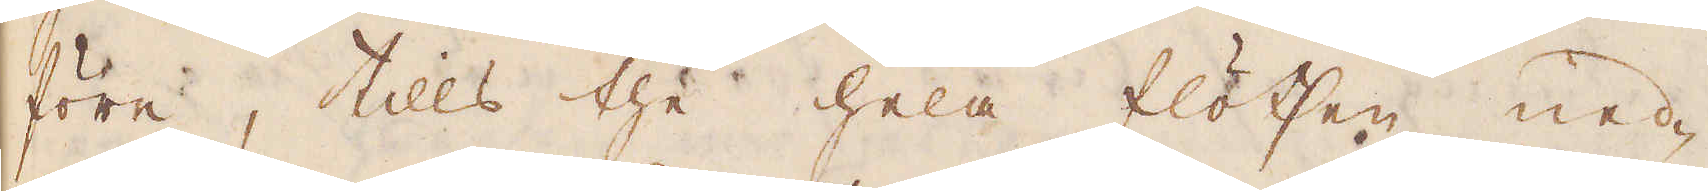före, tills the hela flötsen ned-
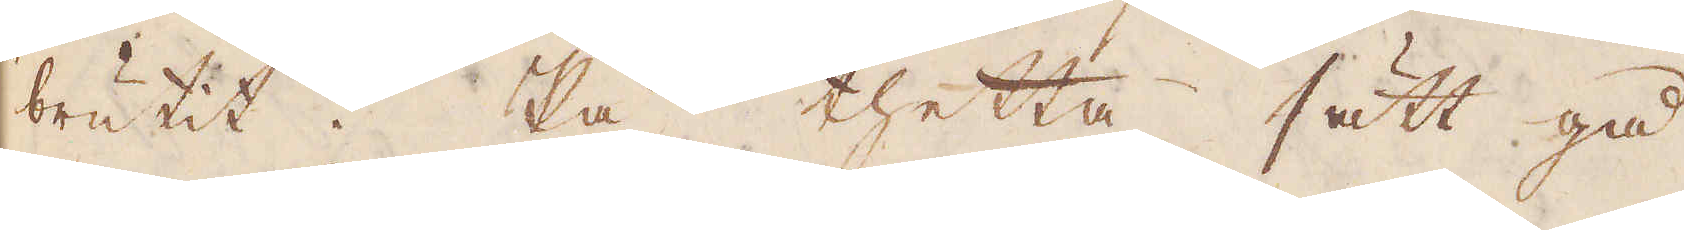brutit. På thetta sätt gå
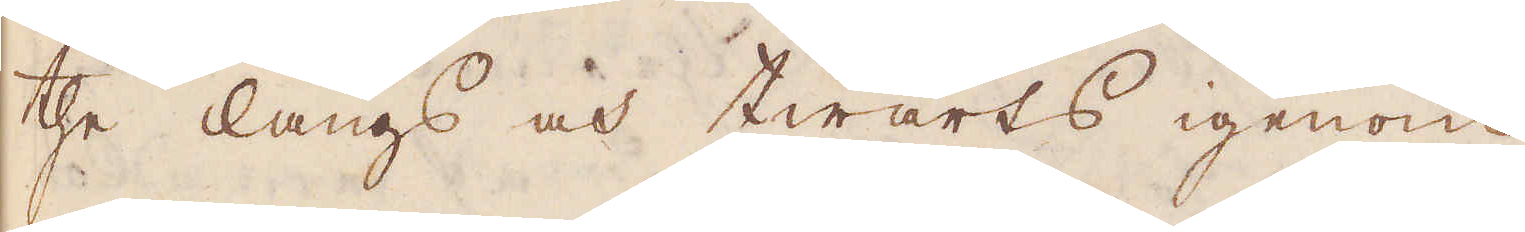the längs och twärts igenom
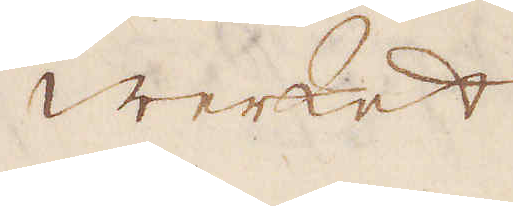werket
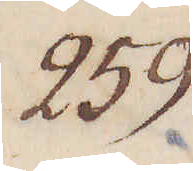259.
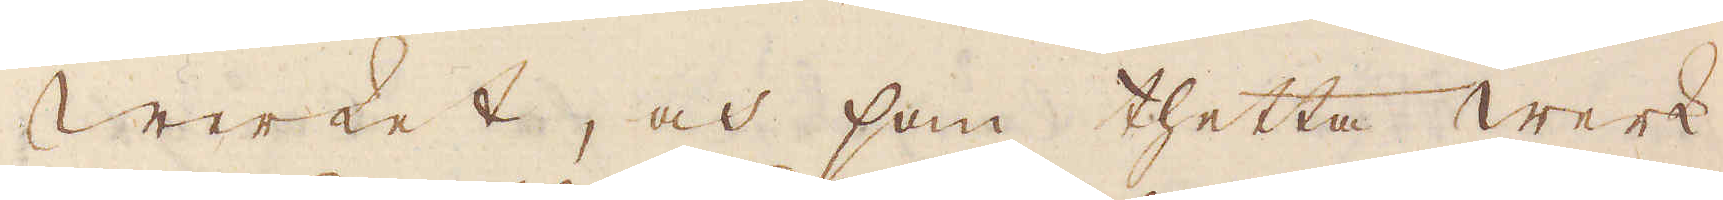Werket, och som thetta werk
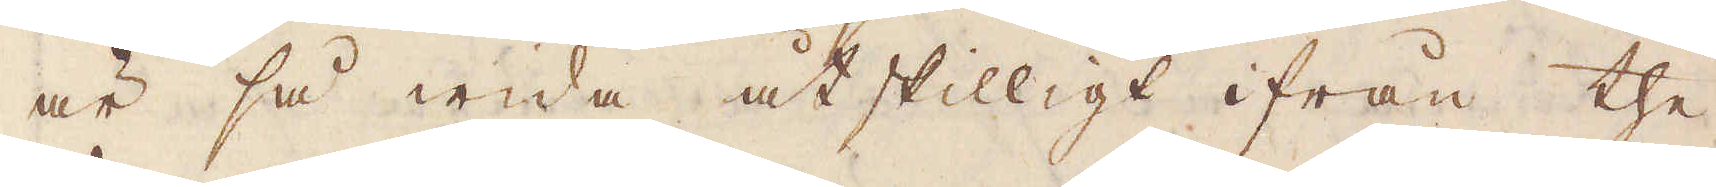är så wida åtskilligt ifrån the
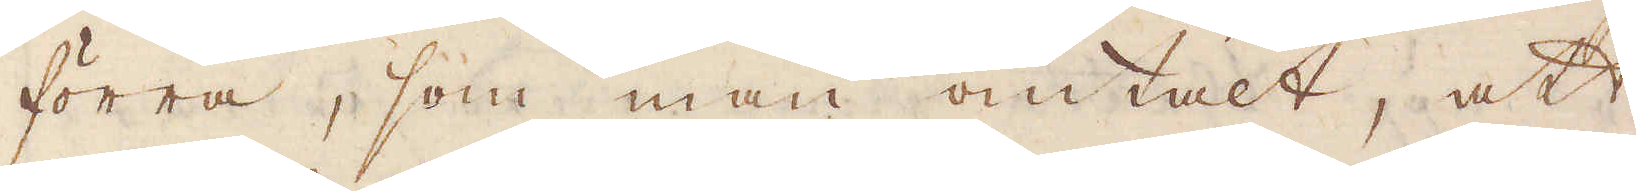förra, som man omtalt, att
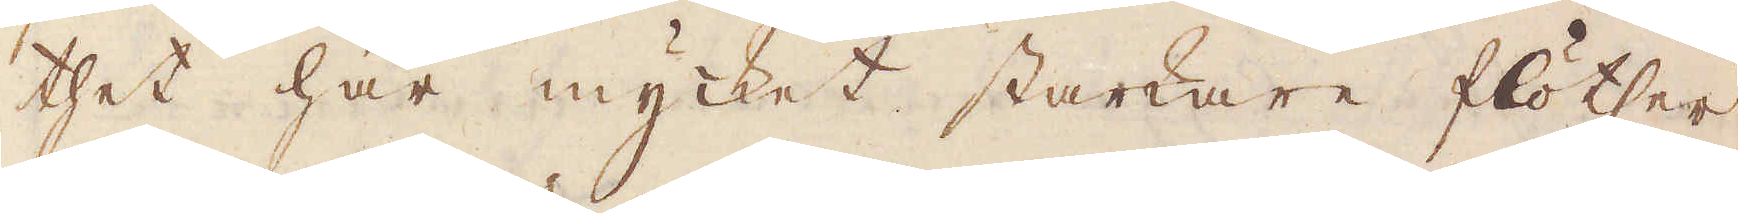thet har mycket starkare flötser
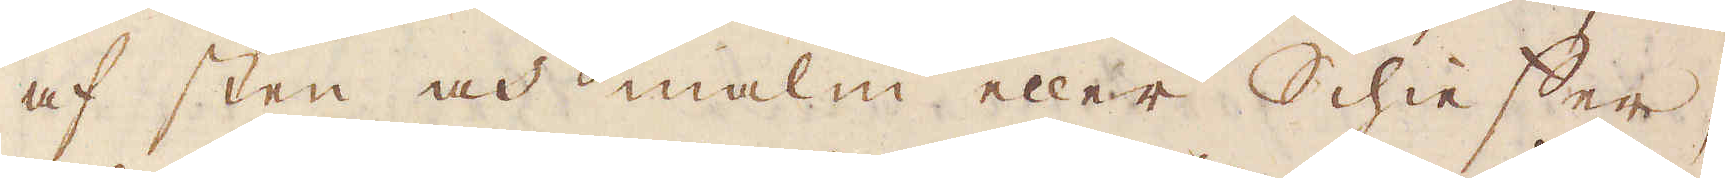af sten och malm eller Schieffer,
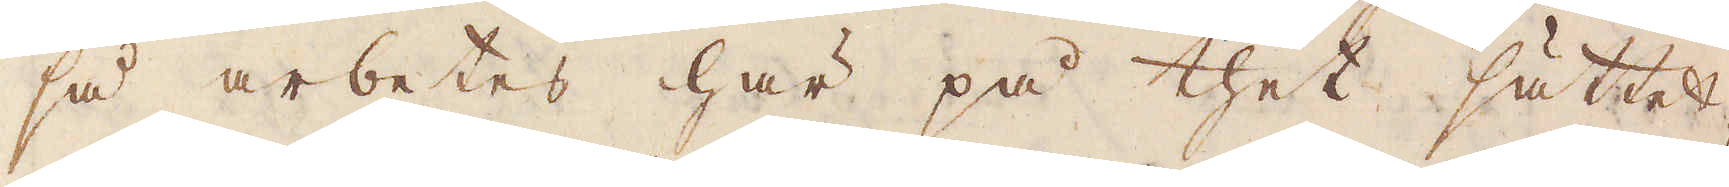så arbetes här på thet sättet,
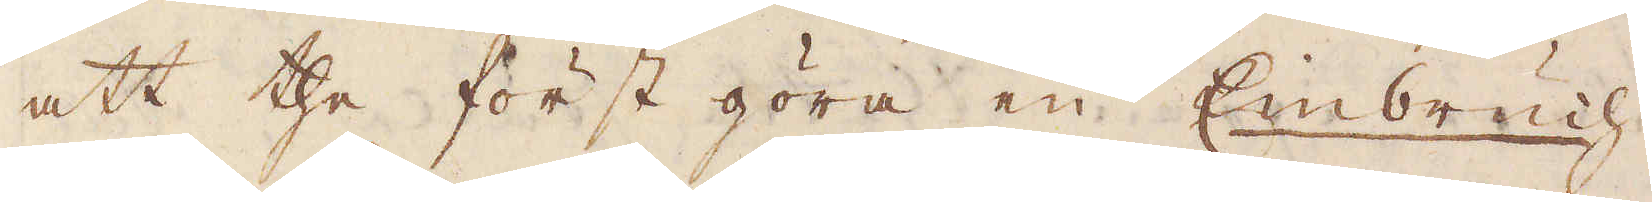att the först göra en Einbruch
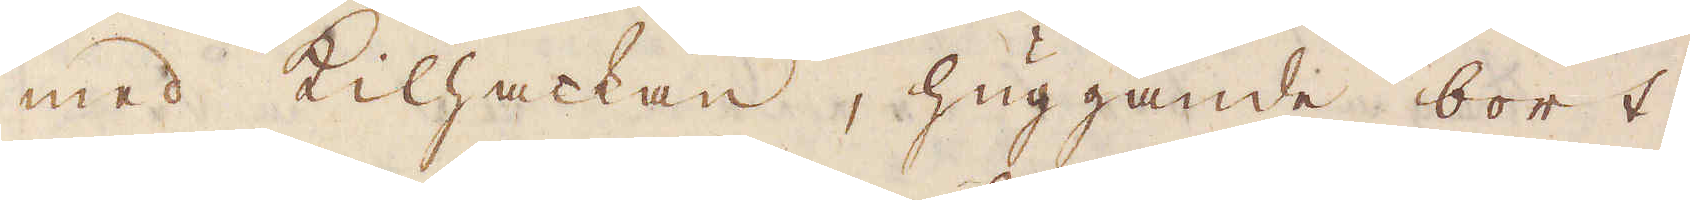med Kilhackan, huggande bort
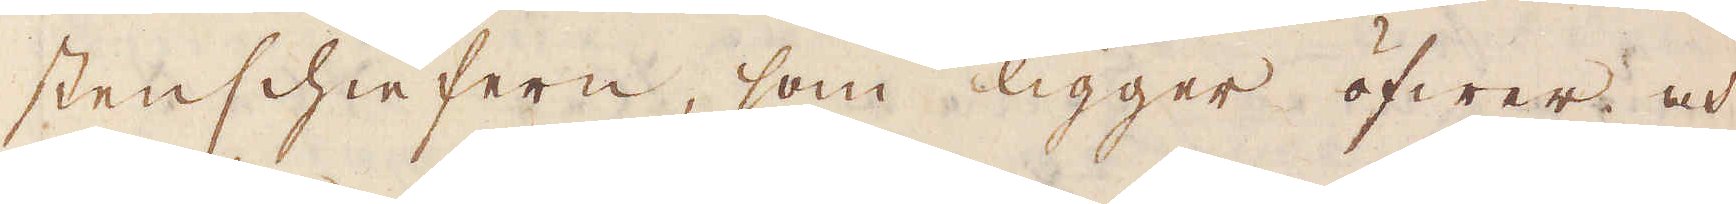stenschiefern, som ligger öfwer och
